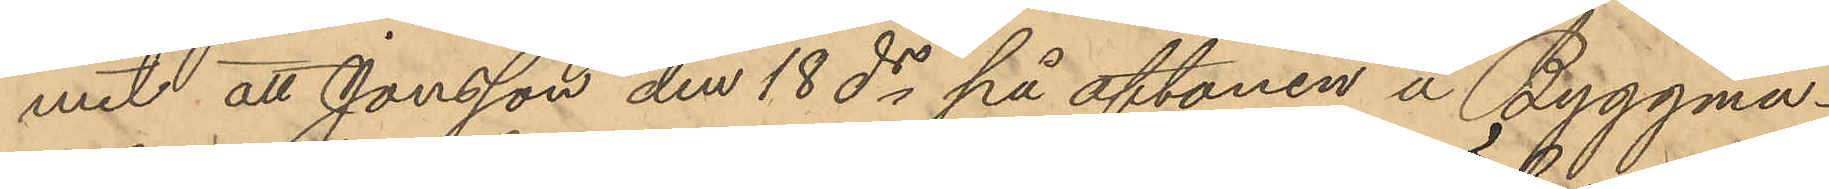mit att Jonsson den 18 ds på aftonen å Byggmä¬
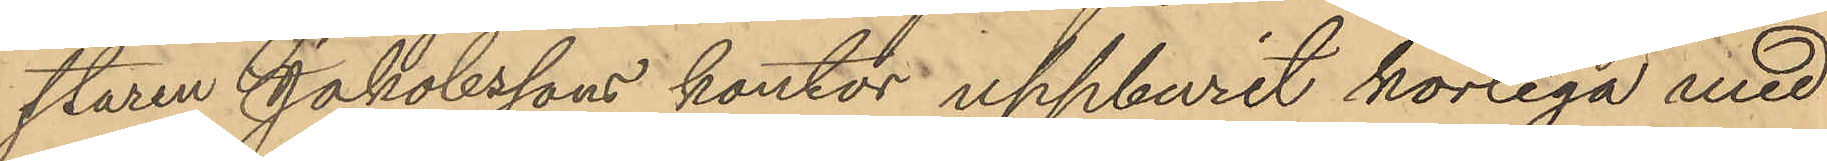staren Jakobssons kontor uppburit körlega med
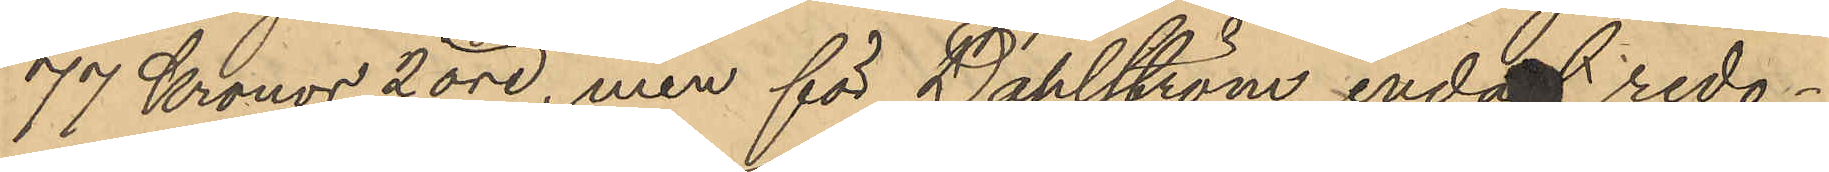77 Kronor 2 öre, men för Dahlström endast redo¬
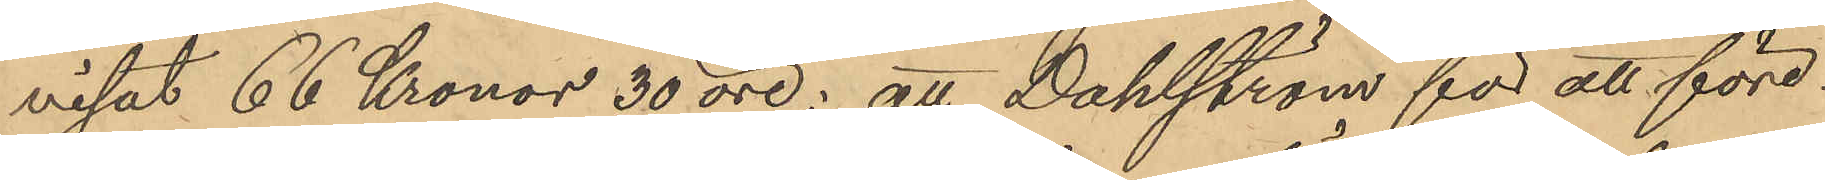visat 66 Kronor 50 öre; att Dahlström för att före¬
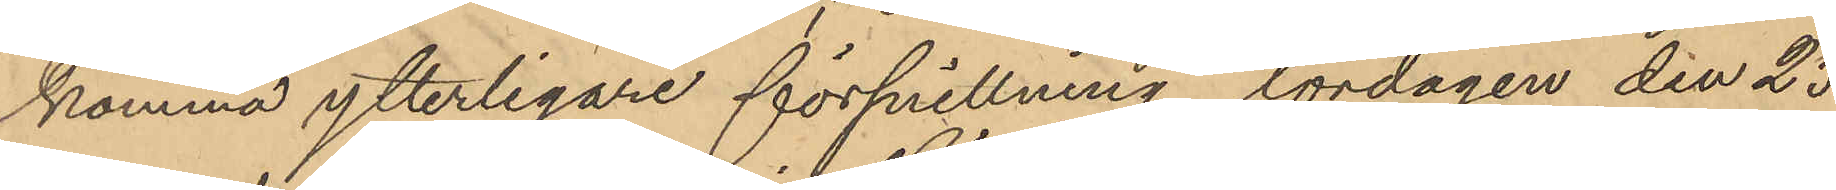komma ytterligare försnillning, lördagen den 25
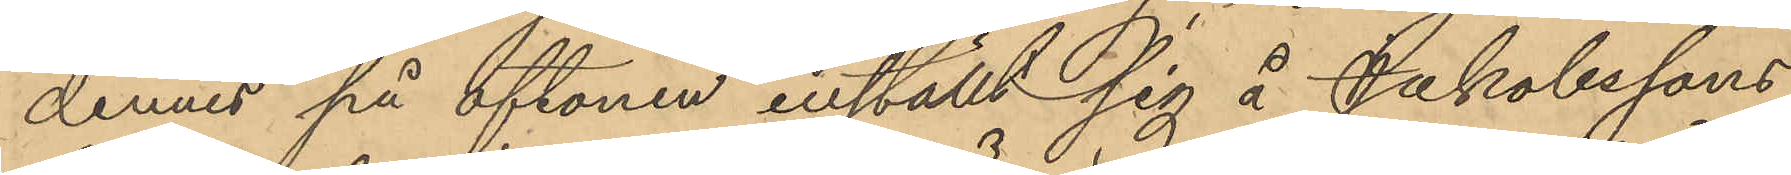dennes på aftonen inställt sig å Jakobssons
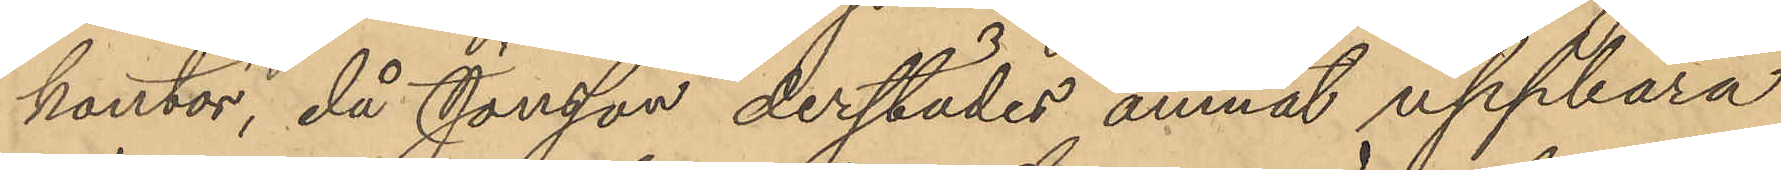kontor, då Jonsson derstädes ämnat uppbära
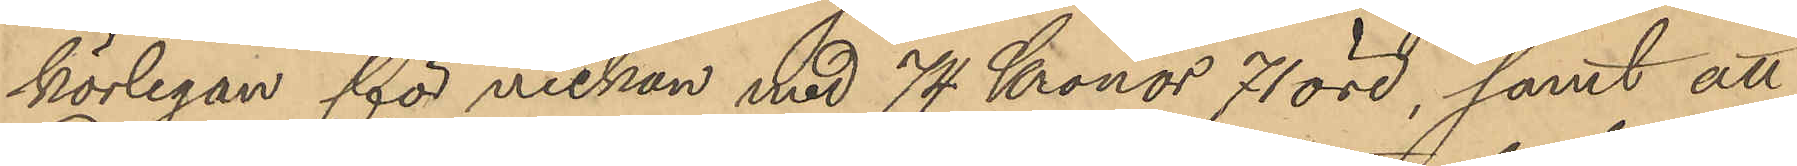körlegan för veckan med 74 Kronor 71 öre, samt att
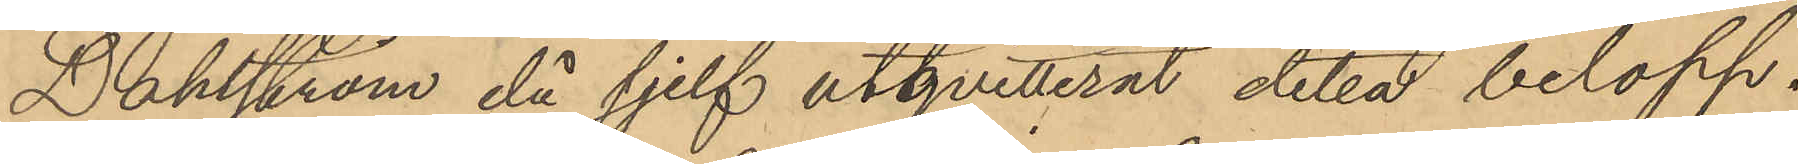Dahlström då sjelf utqvitterat detta belopp.
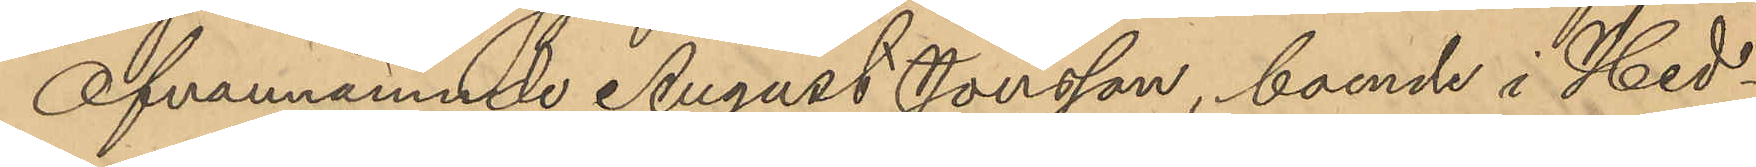Ofvannämnde August Jonsson, boende i Hed¬
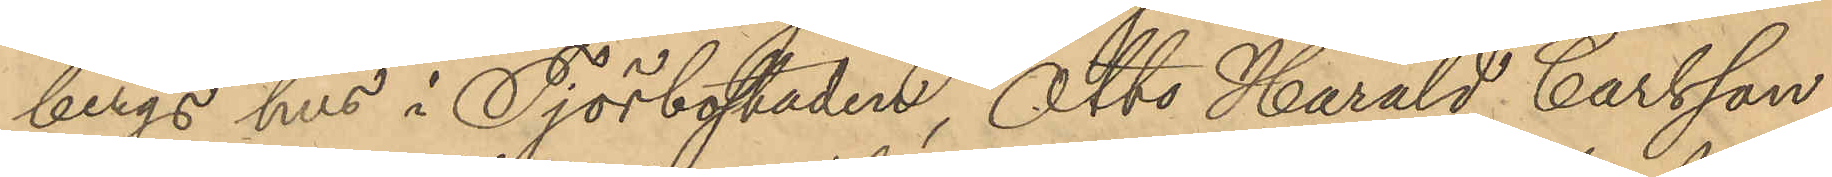bergs hus i Tjörbostaden, Otto Harald Carlsson,
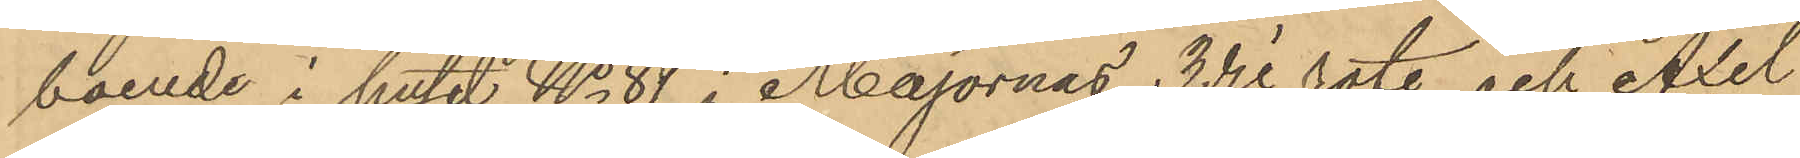boende i huset No 81 i Majornas 3dje rote, och Axel
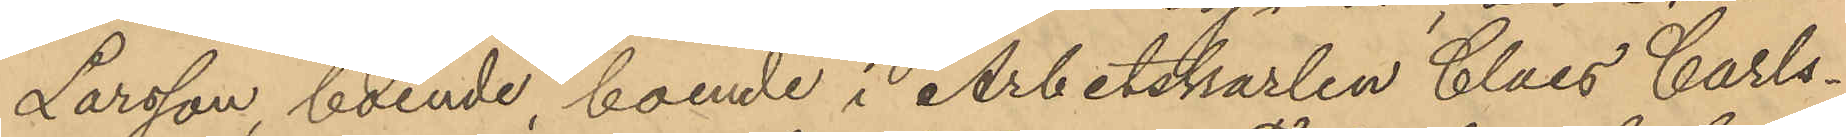Larsson, boende, boende i Arbetskarlen Claes Carls¬
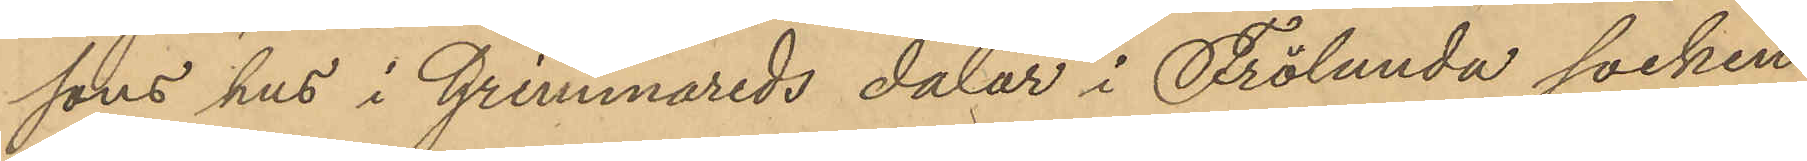sons hus i Grimmareds dalar i Frölunda socken
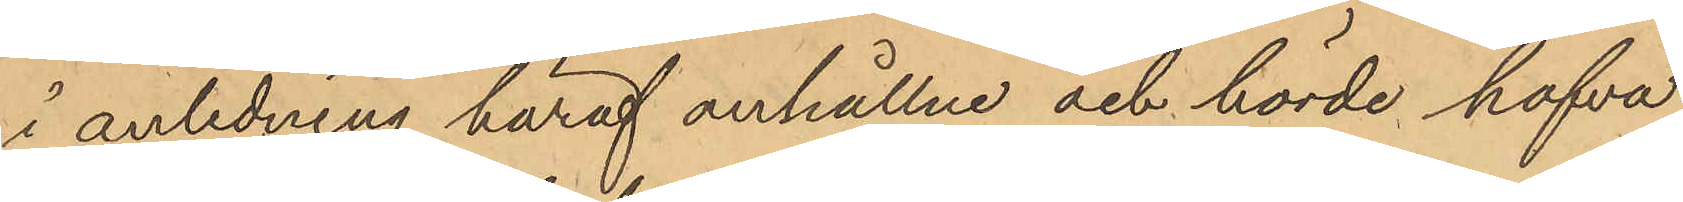i anledning häraf anhållne och hörde hafva
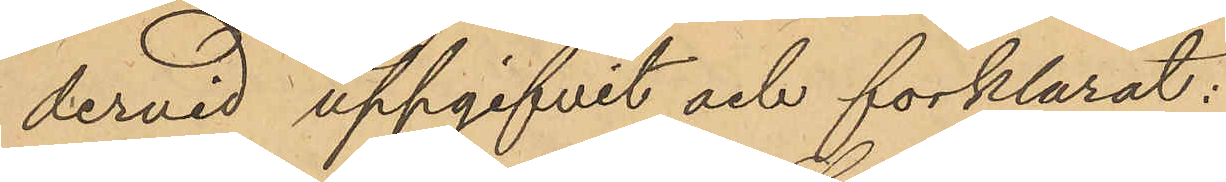dervid uppgifvit och förklarat:
